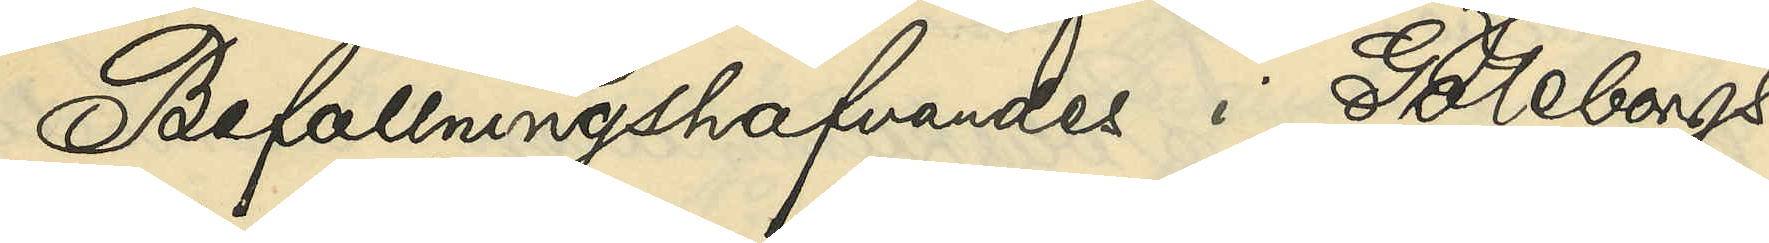Befallningshafvandes i Göteborgs
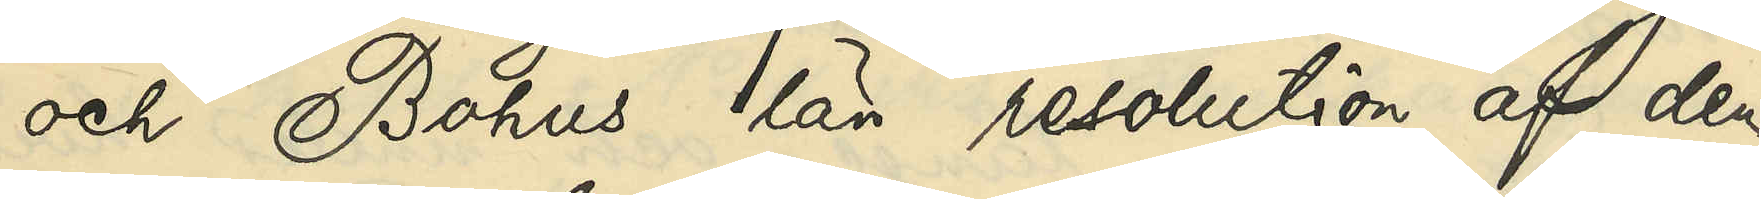och Bohus län resolution af den
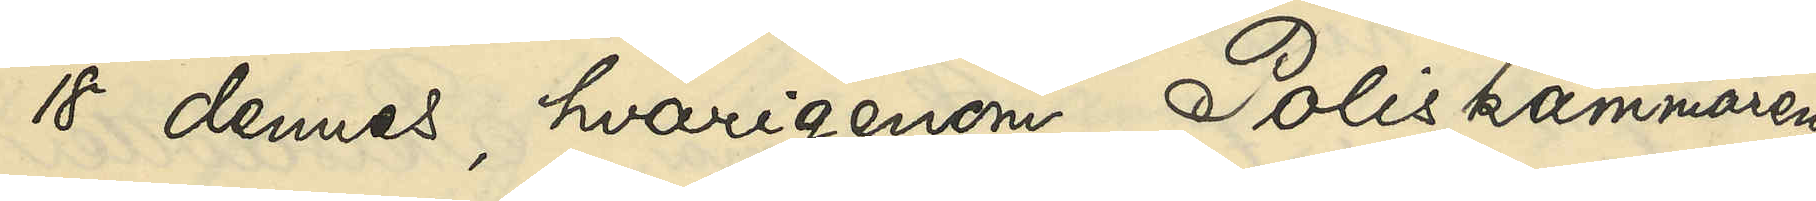18 dennes, hvarigenom Poliskammaren
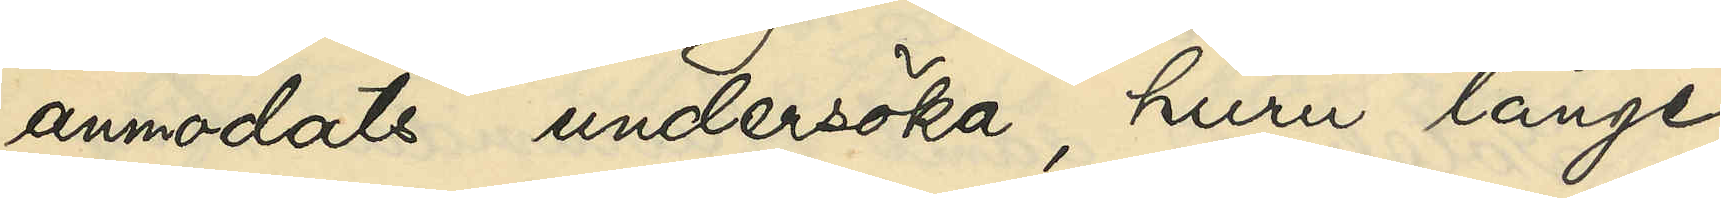anmodats undersöka, huru länge
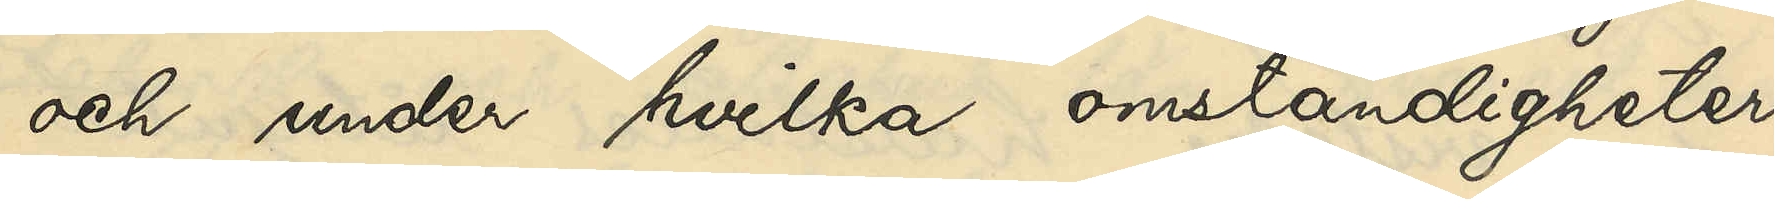och under hvilka omständigheter
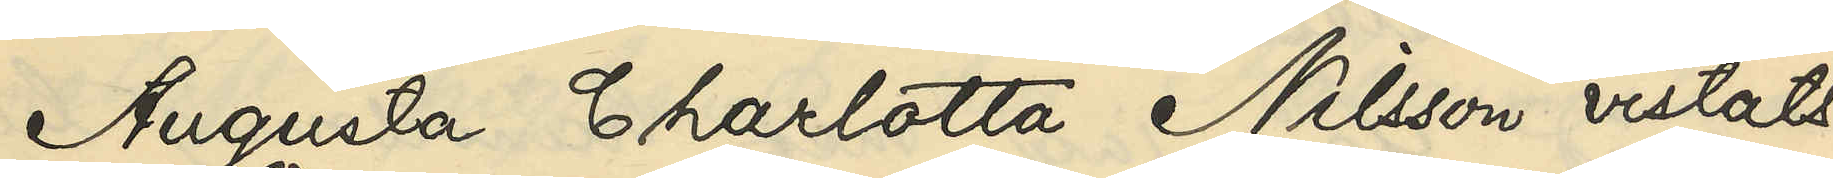Augusta Charlotta Nilsson vistats
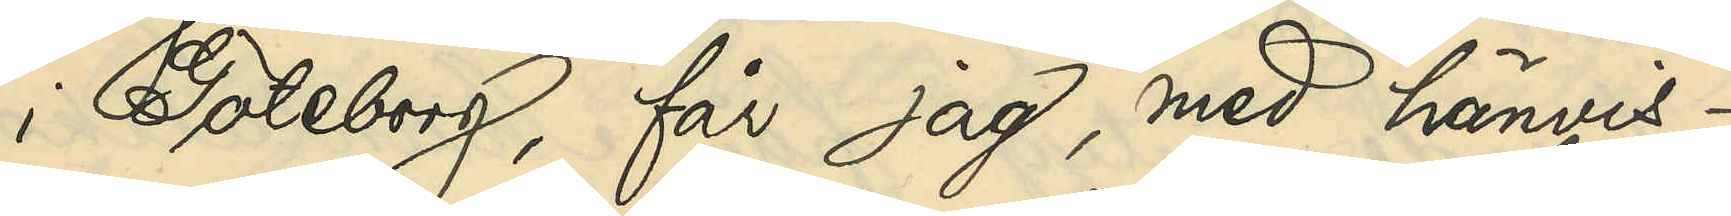i Göteborg, får jag, med hänvis¬
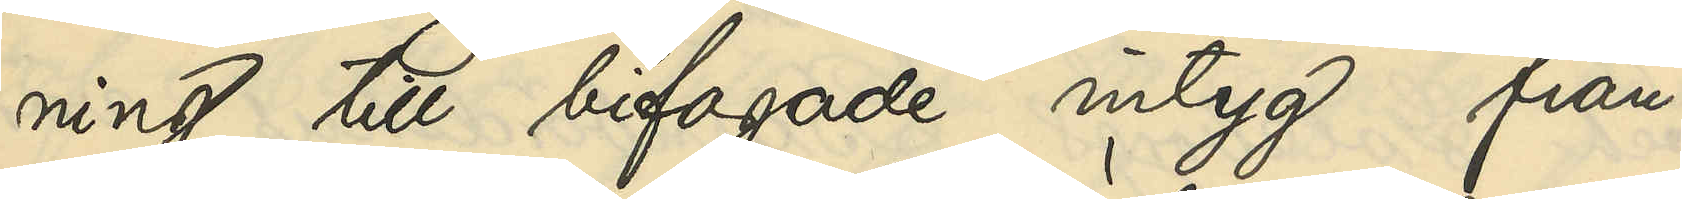ning till bifogade intyg från
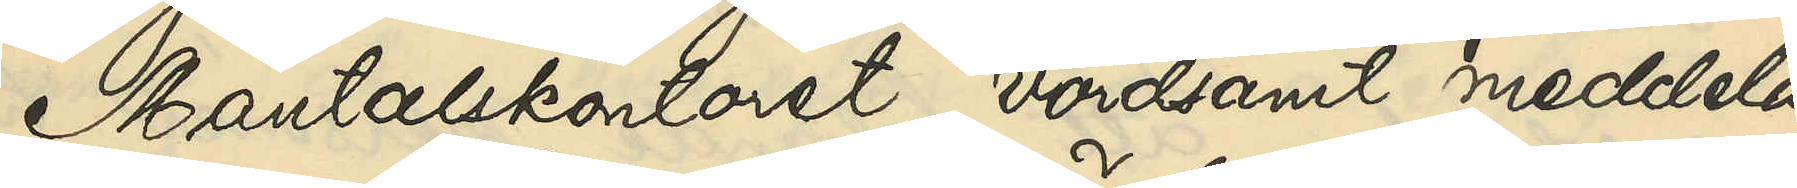Mantalskontoret, vördsamt meddela,
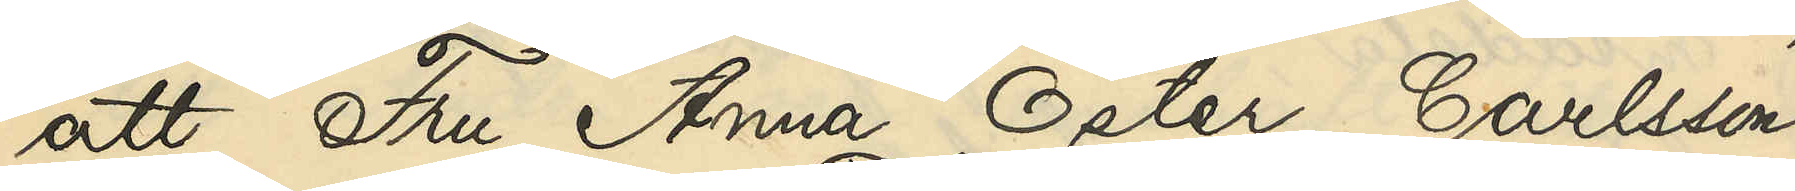att Fru Anna Öster Carlsson,
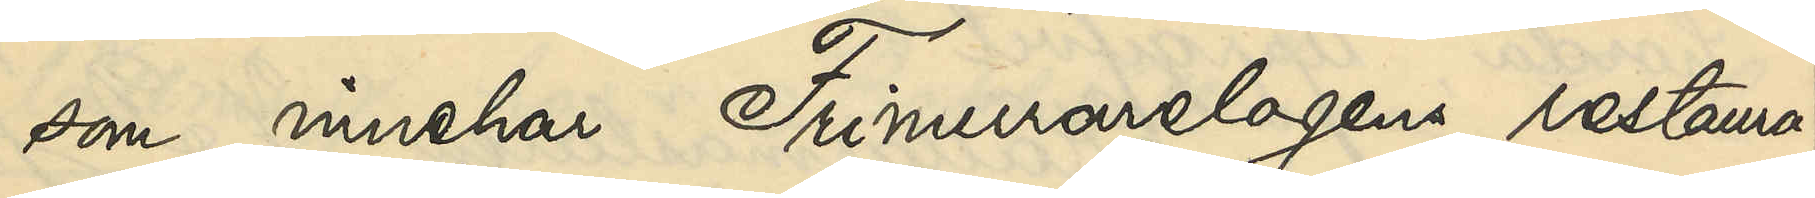som innehar Frimurarelogens restaura¬
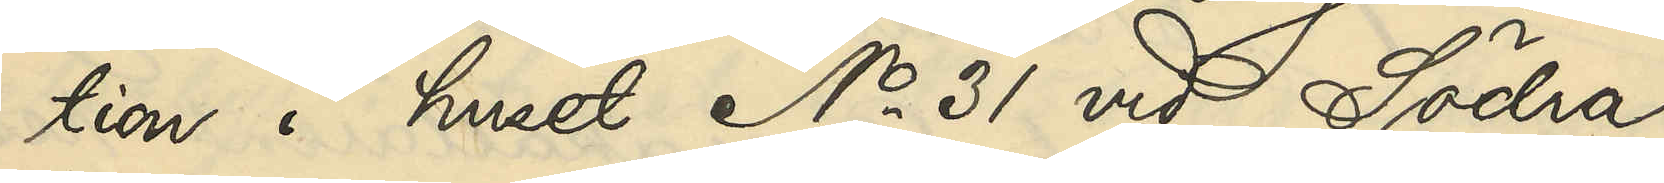tion i huset No 31 vid Södra
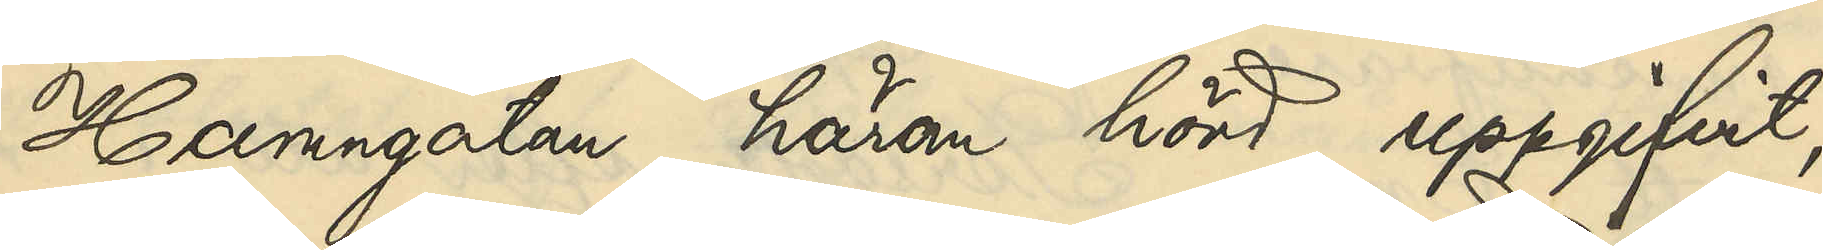Hamngatan, härom hörd, uppgifvit;
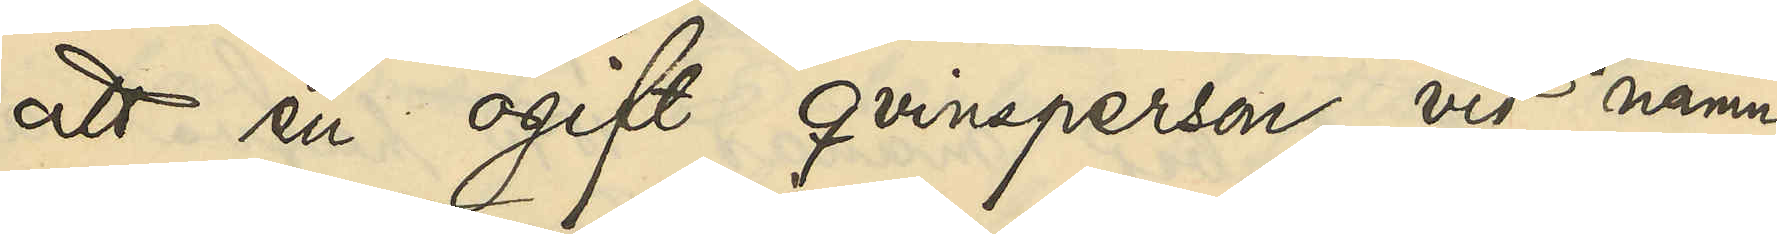att en ogift qvinnsperson vid namn
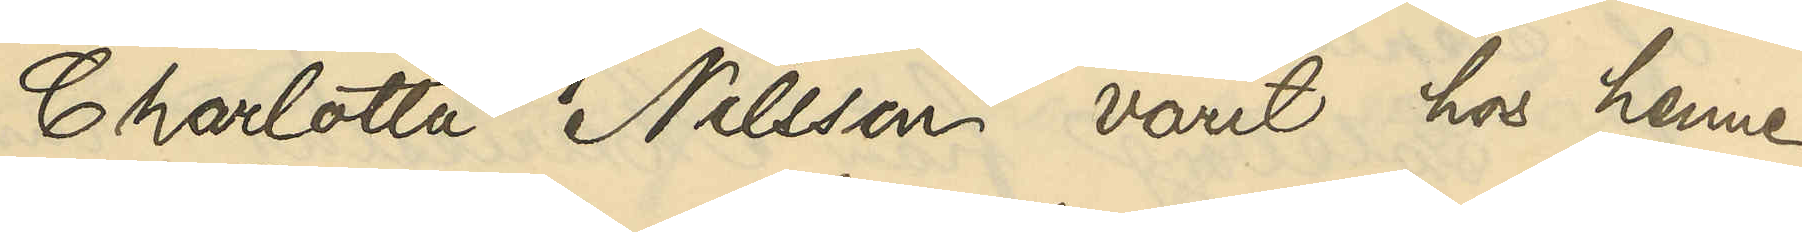Charlotta Nilsson varit hos henne
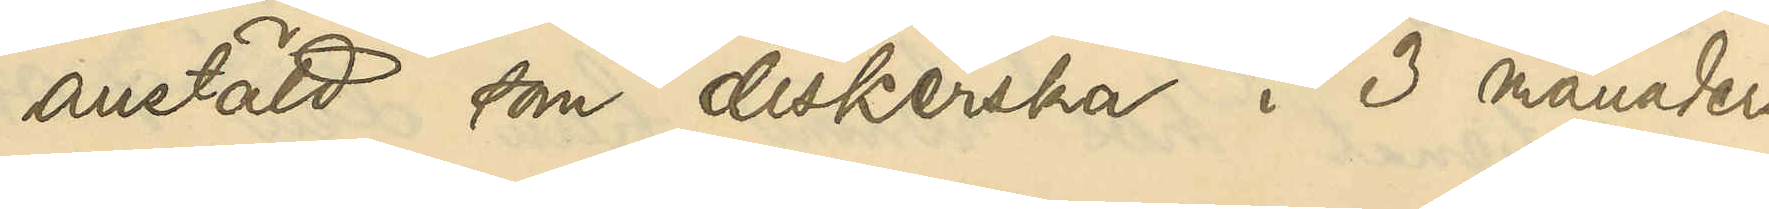anstäld som diskerska i 3 månaders
